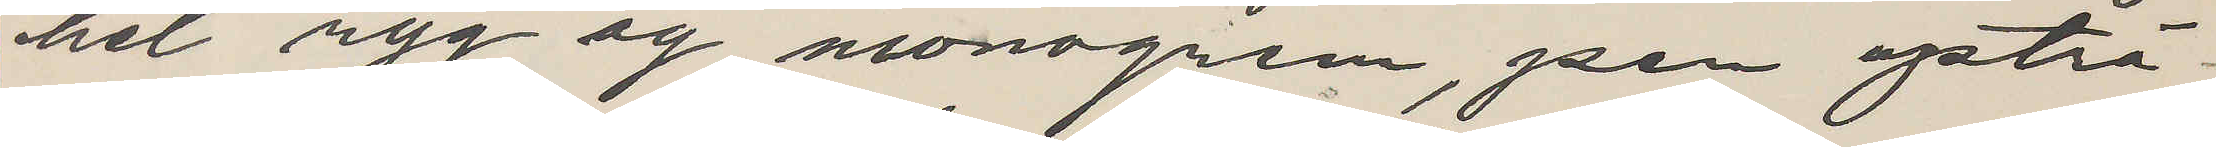hel ryg og monogram, pen upträ¬
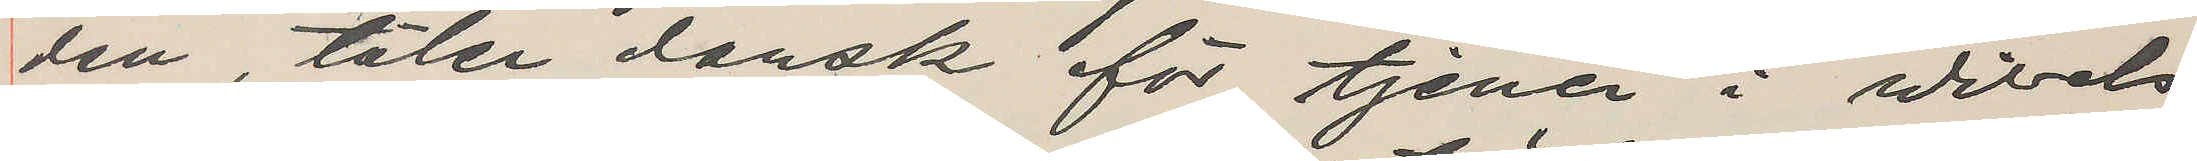den, taler dansk för tjener i Wibels
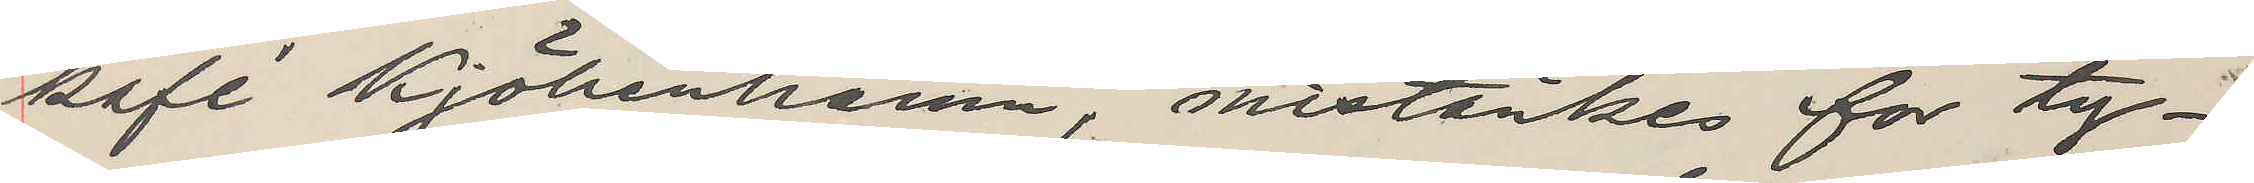kafé Kjöbenhavn, mistänkes for ty¬
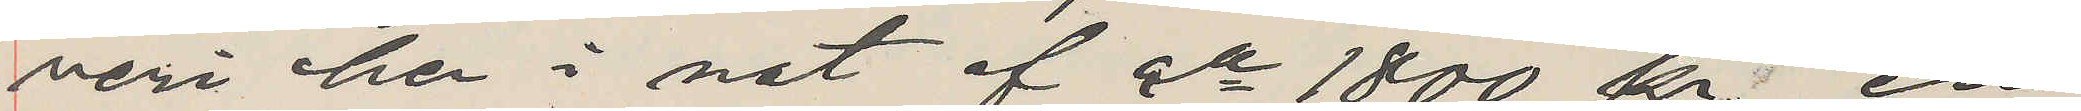veri her i nat af ca 1800 kr, en
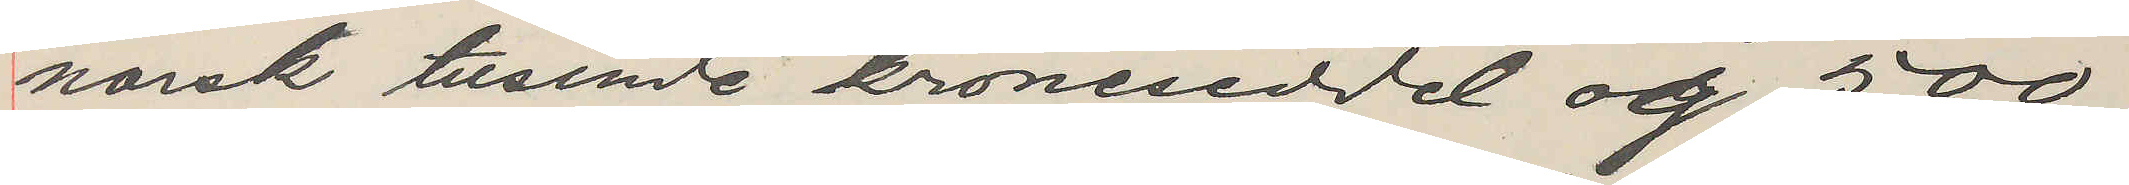norsk tusinde kroneseddel og 500
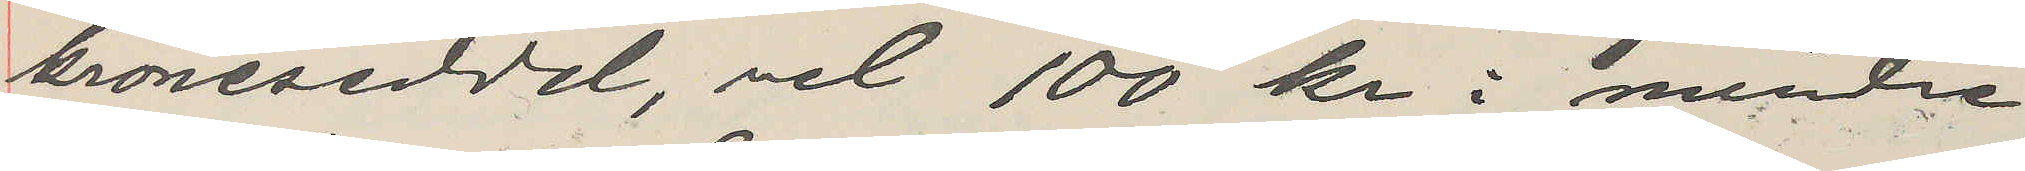kroneseddel, och 100 kr i mindre
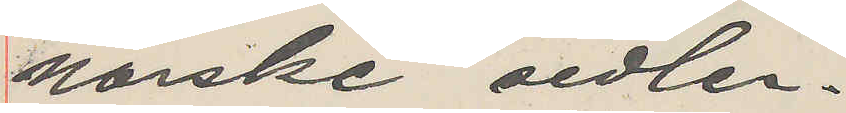norske sedler.
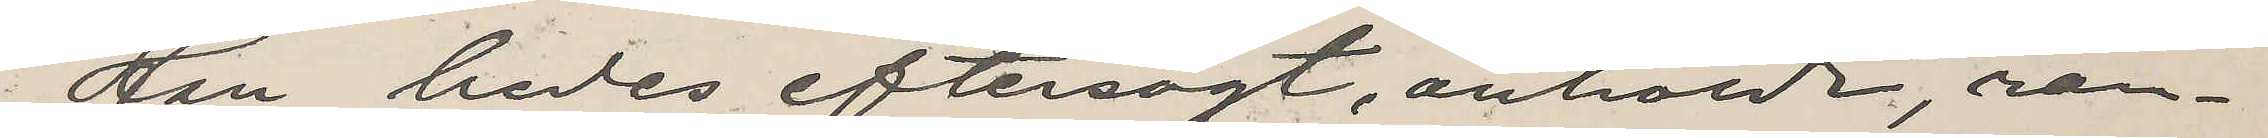Han bedes eftersögt, anhollen, ran¬
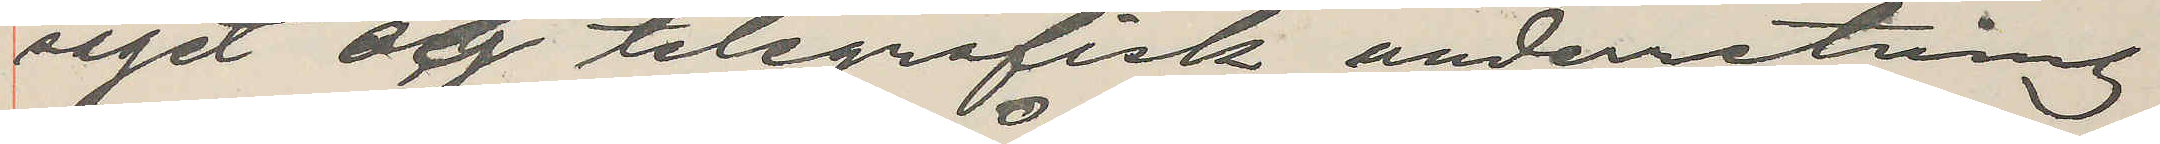saget og telegrafisk underretning
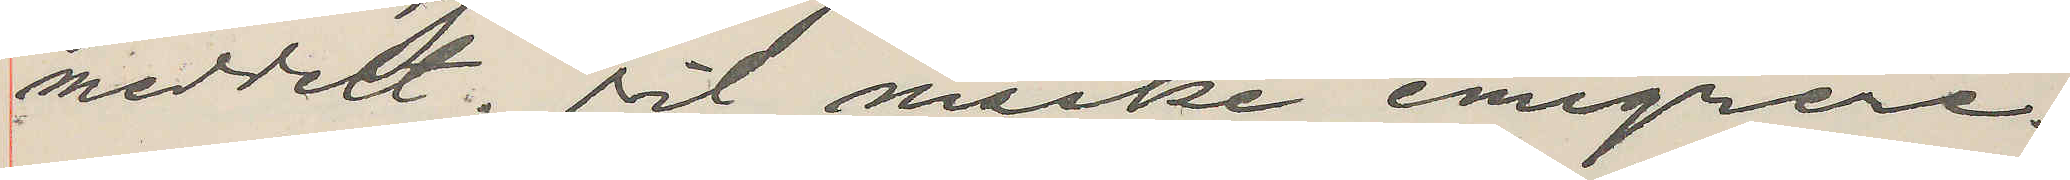meddelt. Vil måske emigrere.
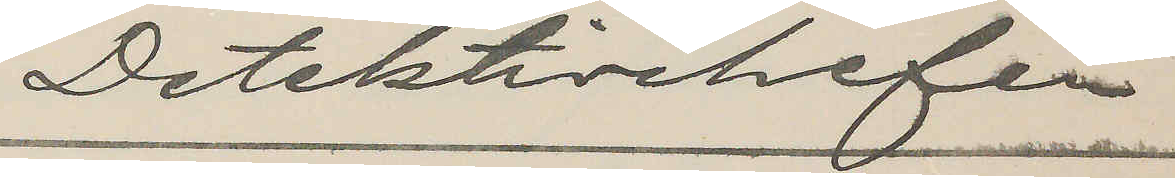Detektivchefen
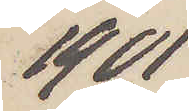1901
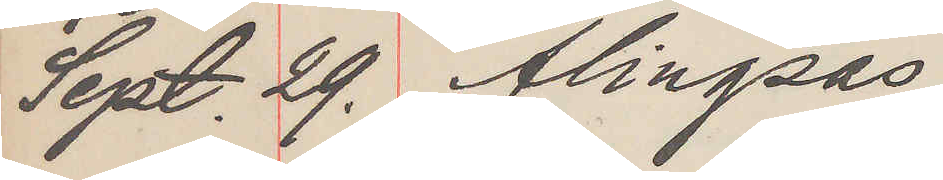Sept. 29. Alingsås
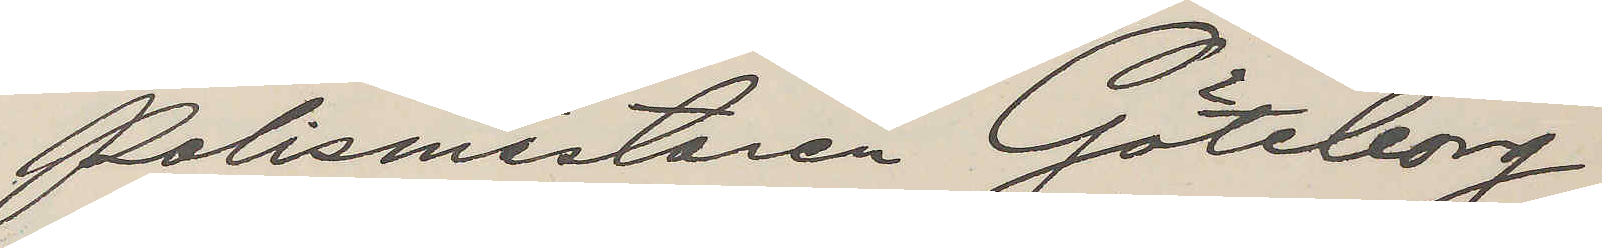Polismästaren Göteborg
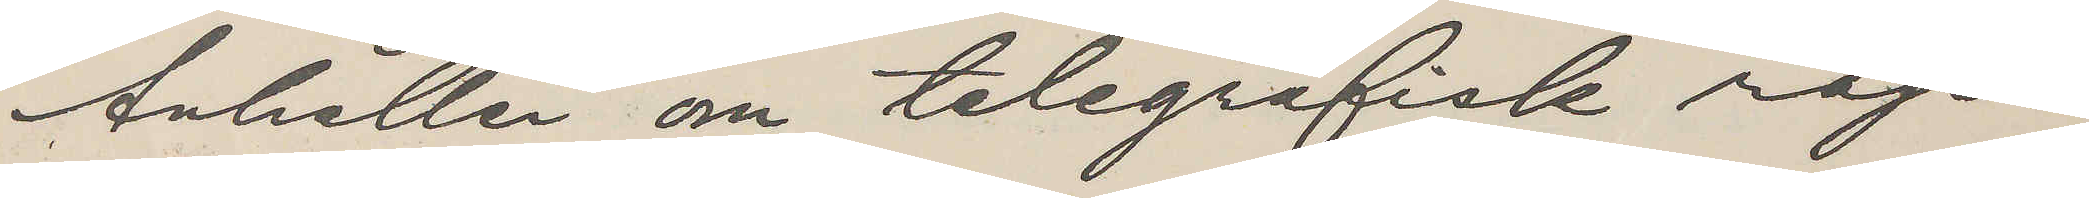Anhåller om telegrafisk rap¬
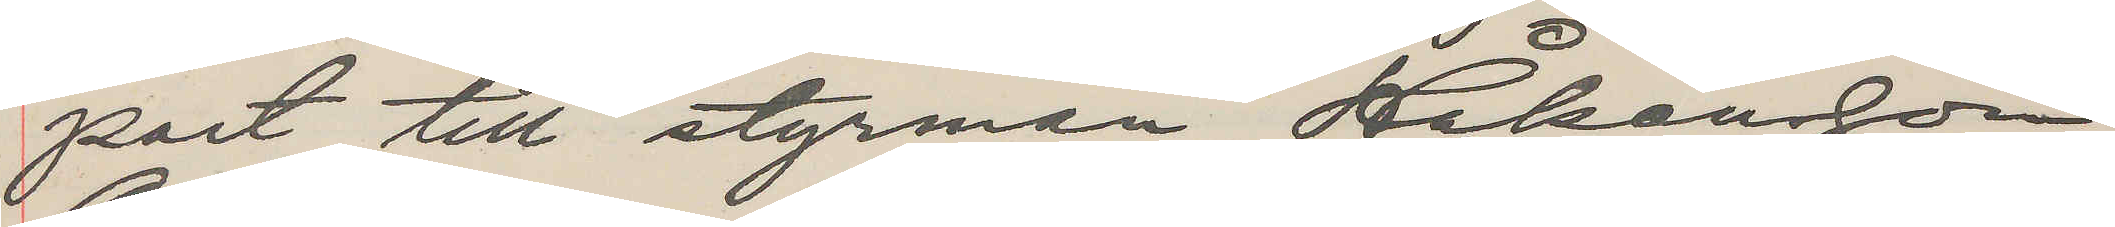port till styrman Håkansson
